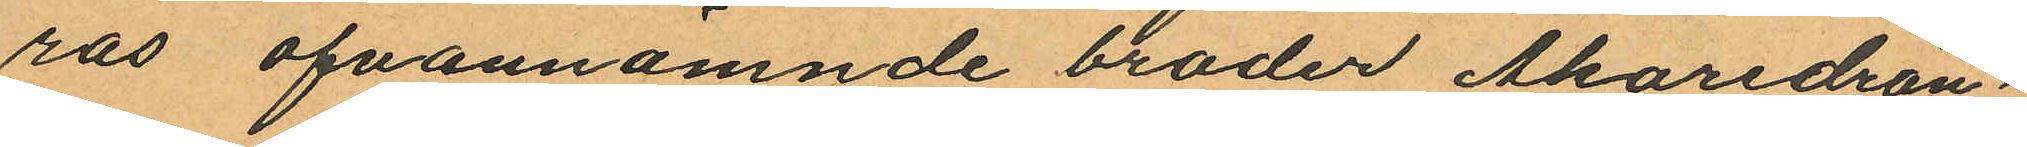ras ofvannämnde broder Åkaredrän¬
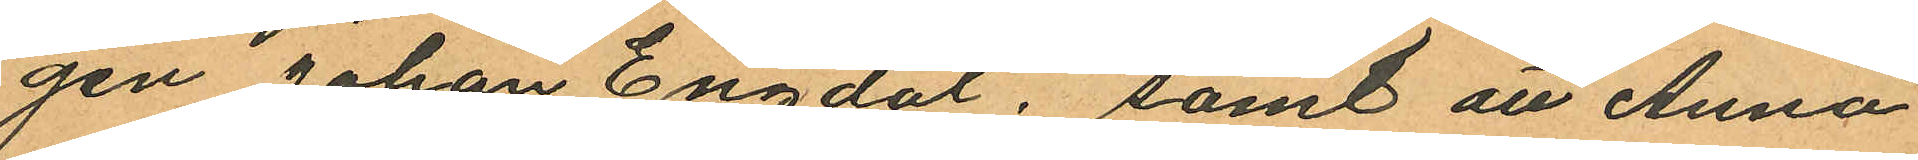gen Johan Engdal, samt att Anna
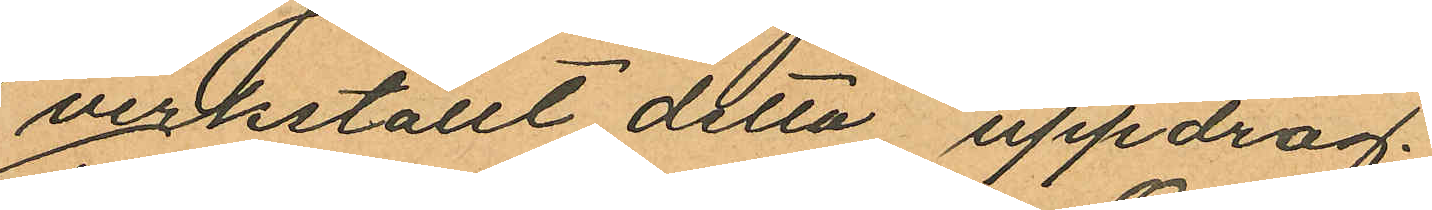verkställt detta uppdrag.
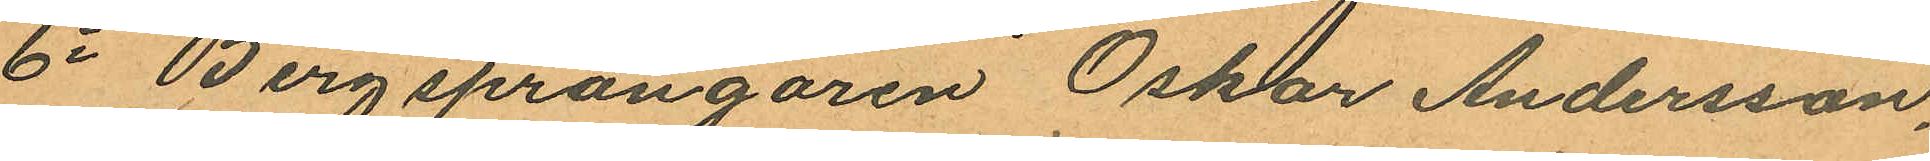6o Bergsprängaren Oskar Andersson,
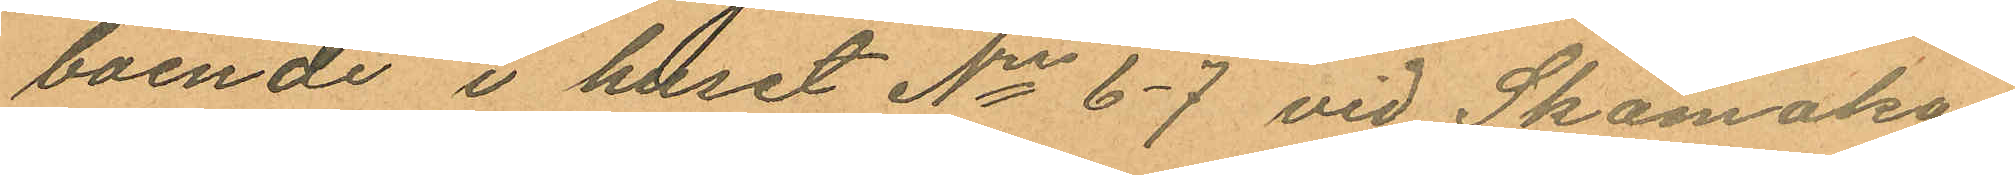boende i huset Nris 6-7 vid Skomaka¬
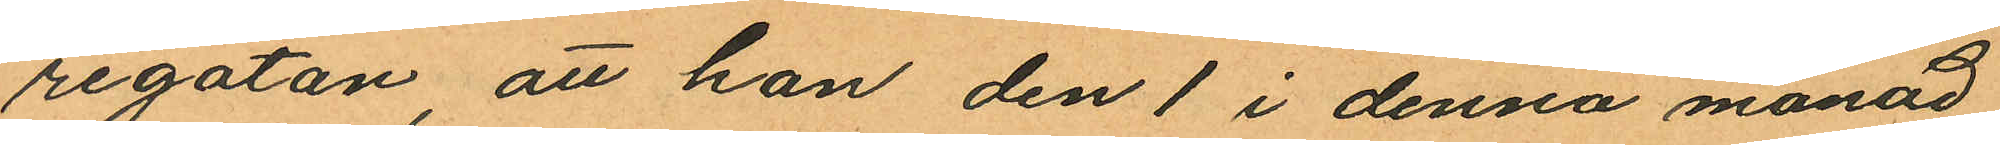regatan, att han den 1 i denna månad
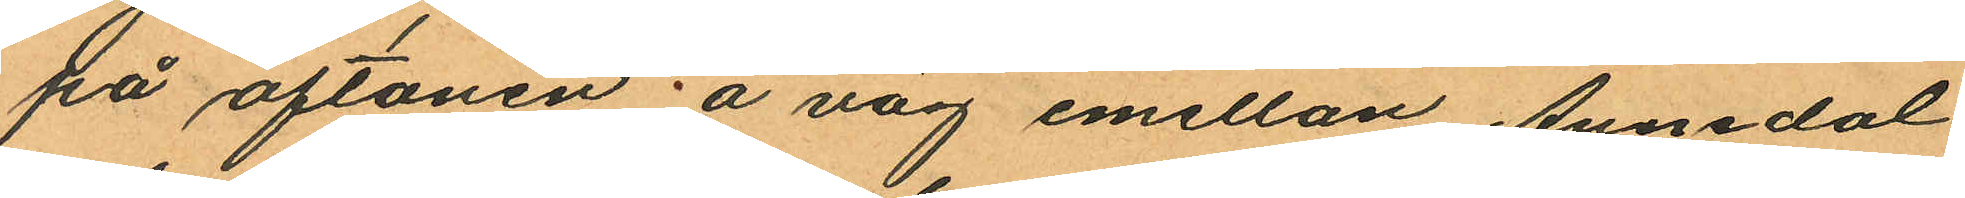på aftonen å väg emellan Annedal
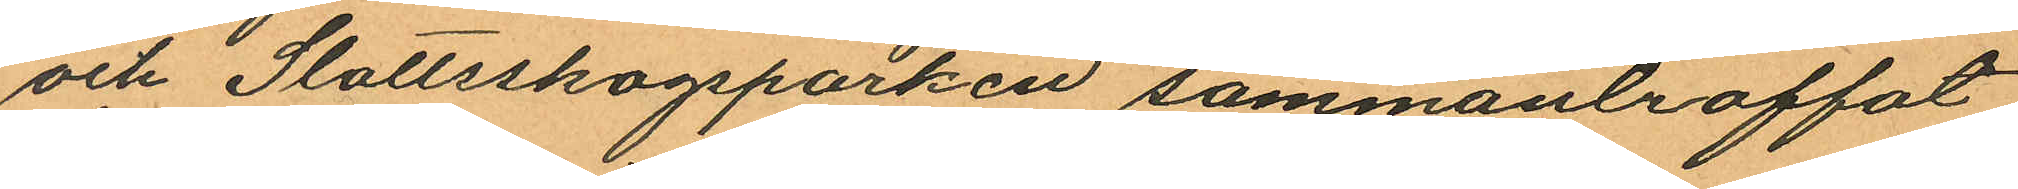och Slottsskogsparken sammanträffat
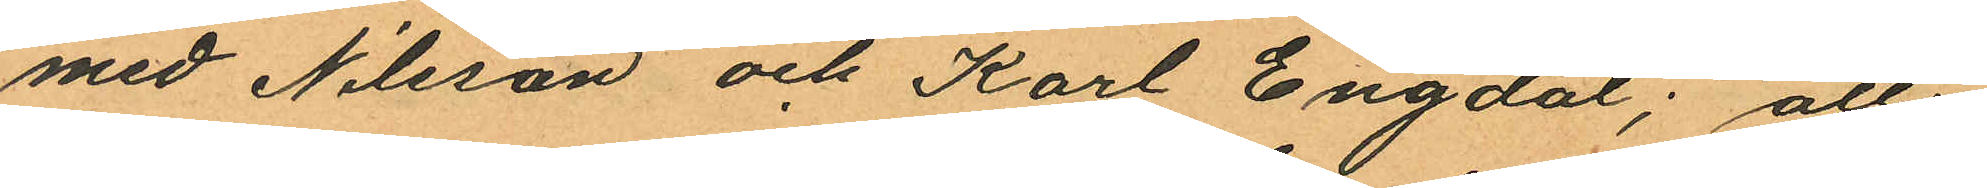med Nilsson och Karl Engdal; att
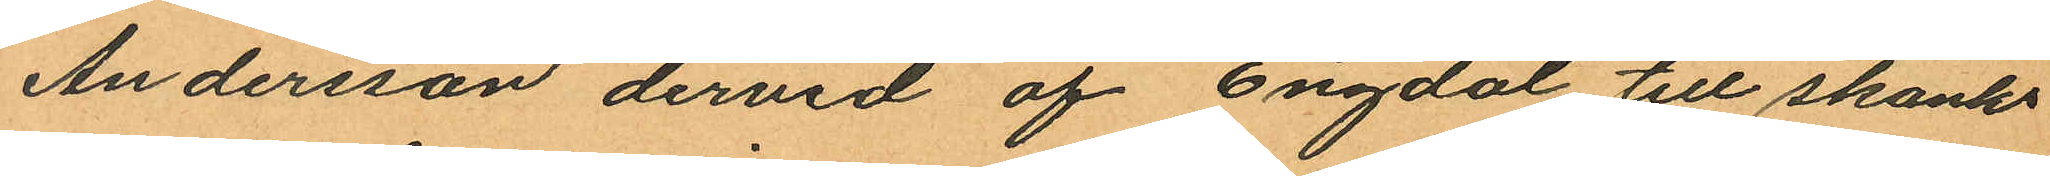Andersson dervid af Engdal till skänks
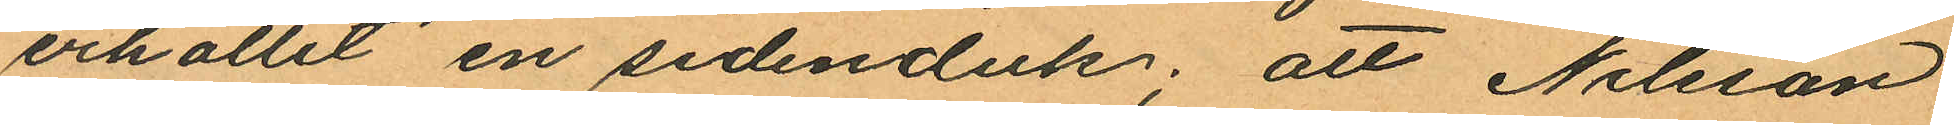erhållit en sidenduk; att Nilsson
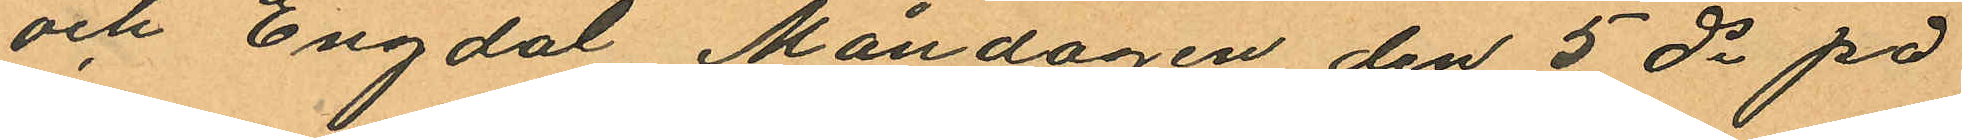och Engdal Måndagen den 5 ds på
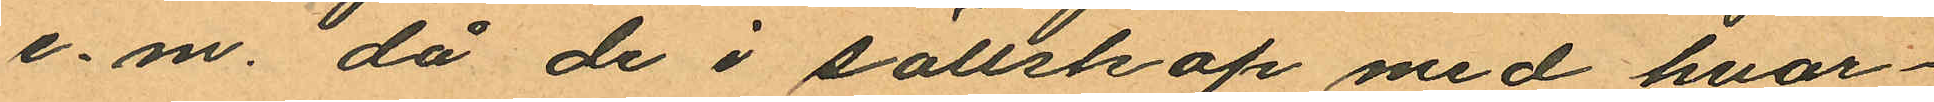e.m. då de i sällskap med hvar¬
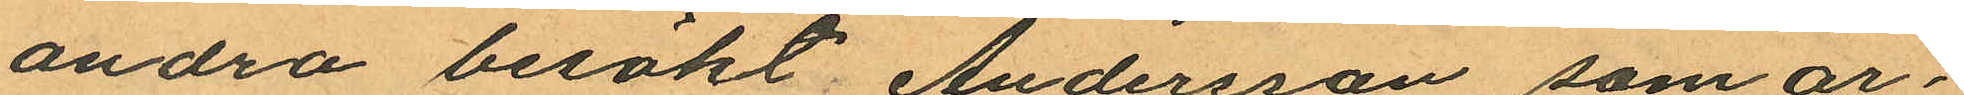andra besökt Andersson som ar¬
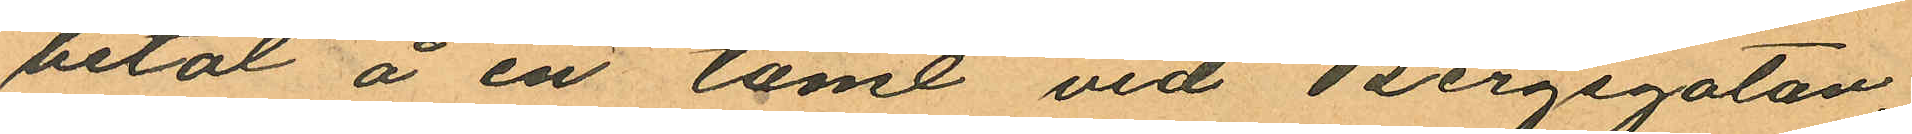betat å en tomt vid Bergsgatan
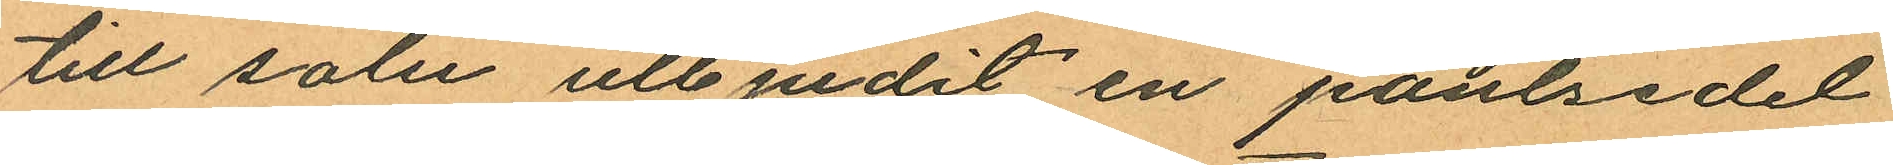till salu utbjudit en pantsedel
